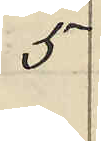5
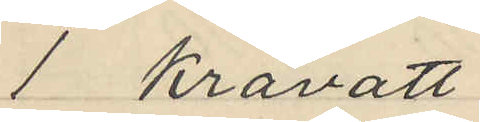1 kravatt
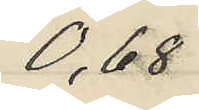0,68
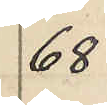68
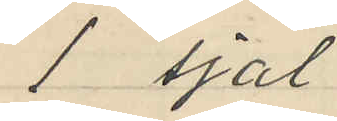1 sjal
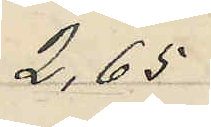2,65
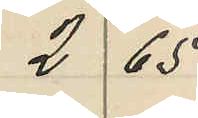2 65
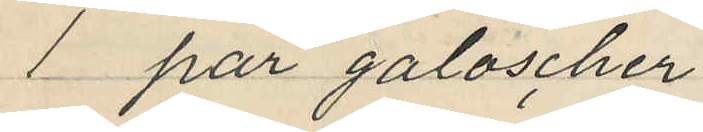1 par galoscher
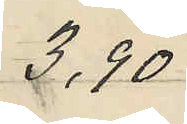3,90
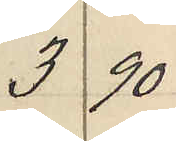3 90
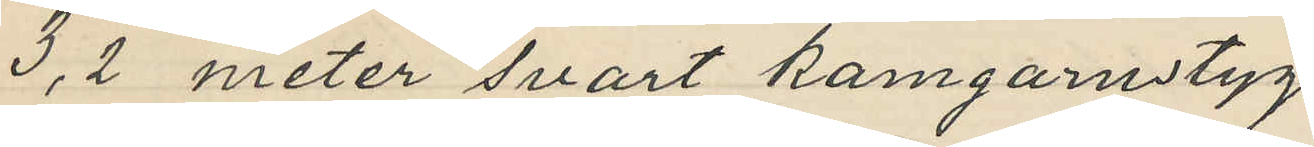3,2 meter svart kamgarnstyg
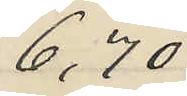6,70
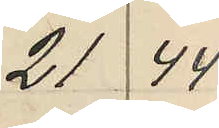21 44
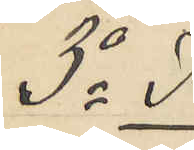3o I
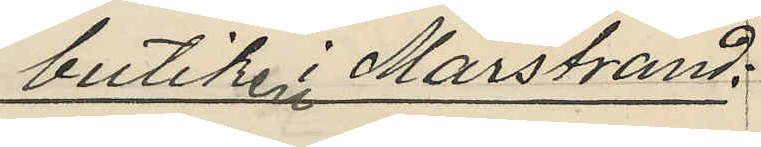butiken i Marstrand:
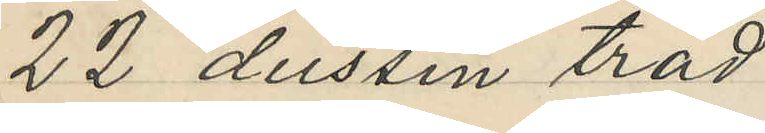22 dussin tråd
